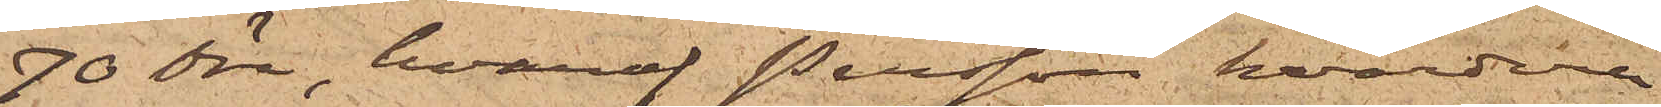70 öre, hvaraf Persson hvardera
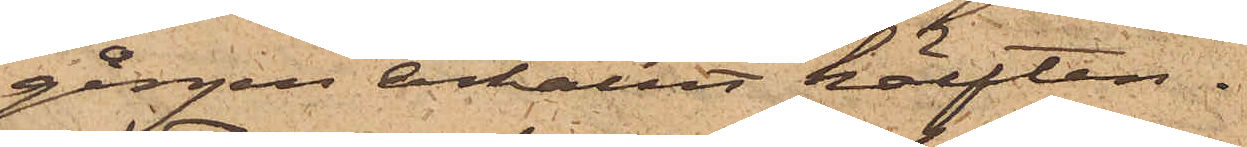gången erhållit hälften.
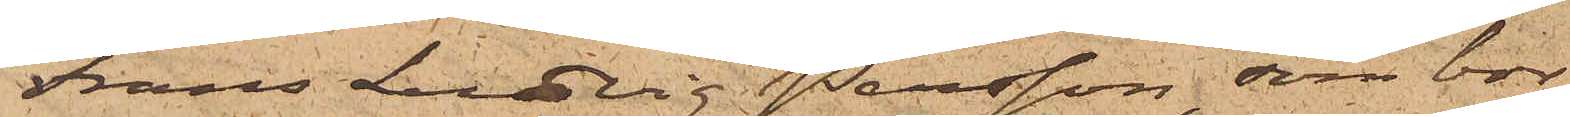Frans Ludvig Persson, som bor
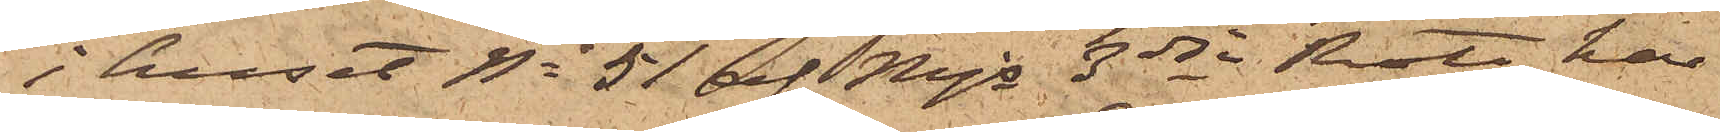i huset No 51 af Mjs 3dje Rote, har
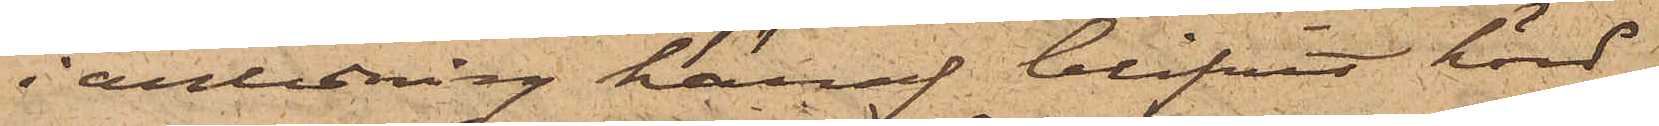i anledning häraf blifvit hörd,
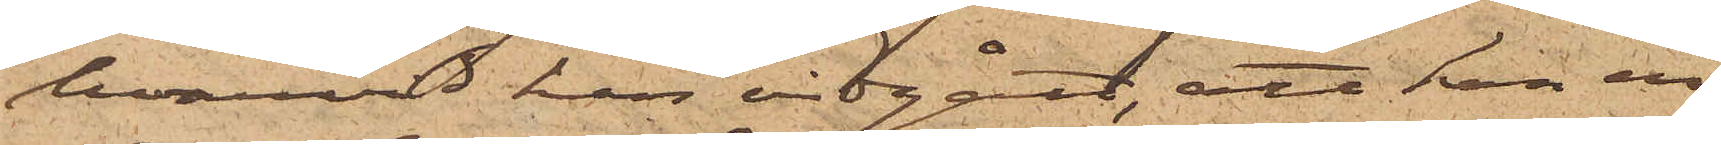hvarvid han vidgått, att han en
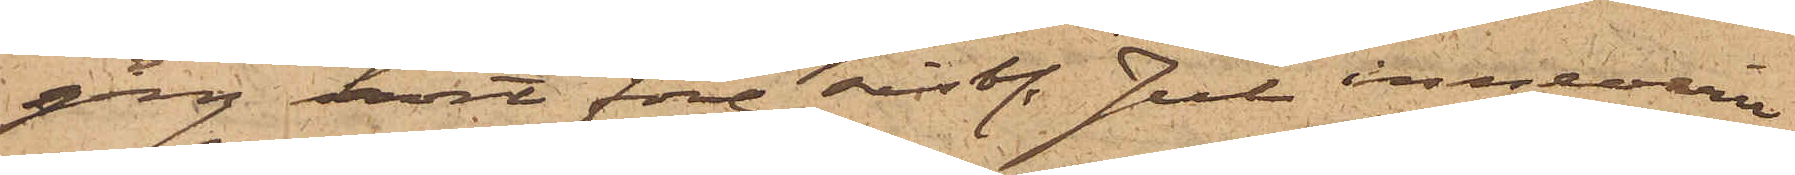gång kort före sistl. Jul innevarit
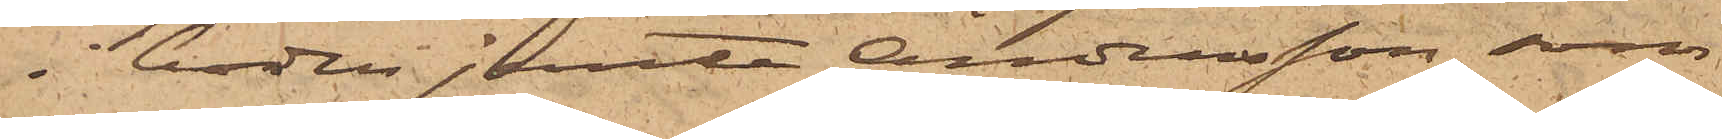i boden jemte Andersson, som
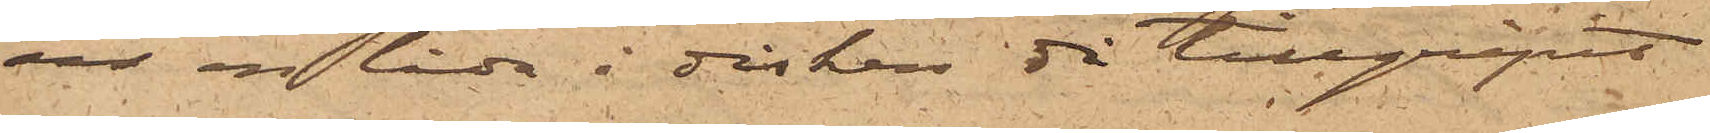ur en låda i disken då tillgripit
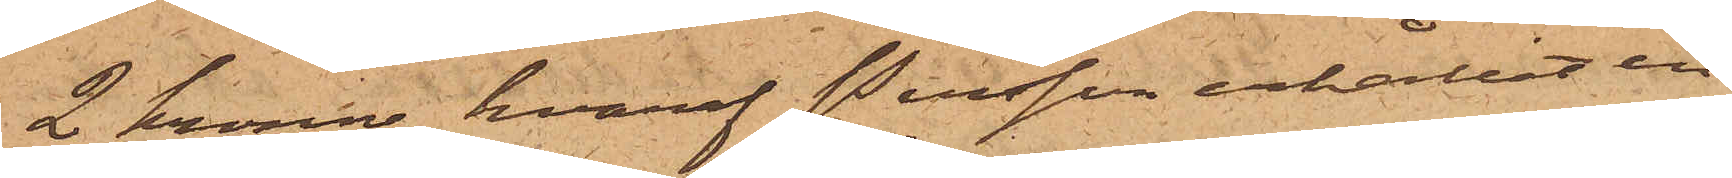2 kronor, hvaraf Persson erhållit en
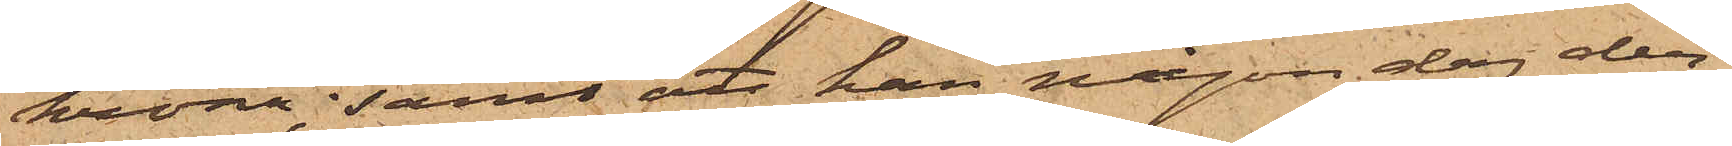krona; samt att han någon dag der¬
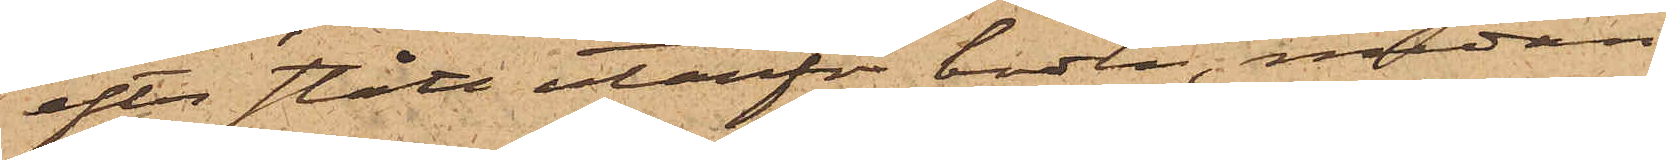efter stått utanför boden, medan
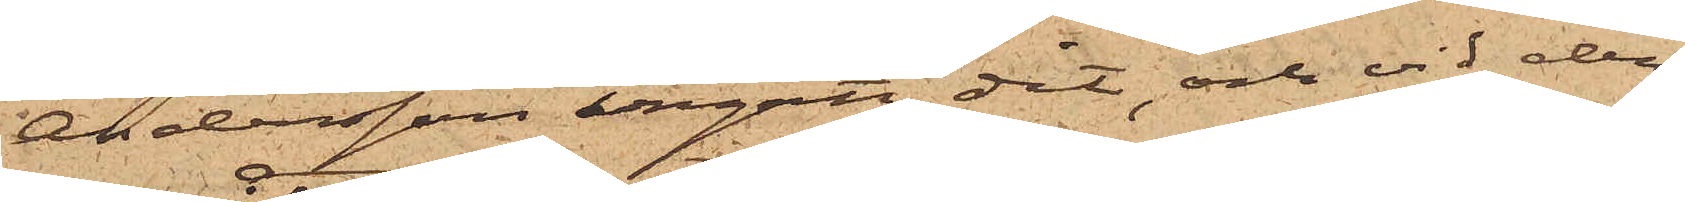Andersson ingått dit, och vid den¬
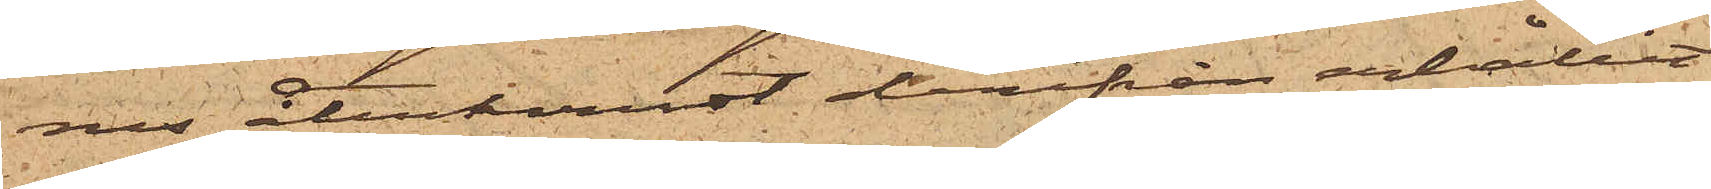nes återkonst derifrån erhållit
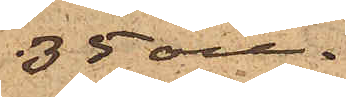35 öre.
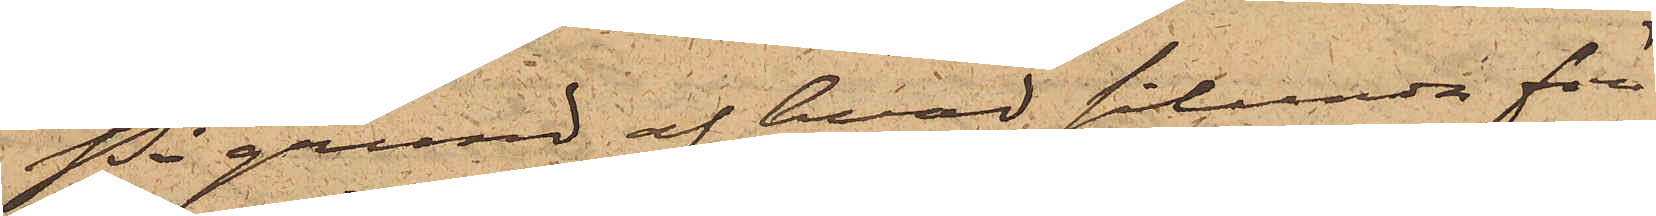På grund af hvad sålunda före¬
